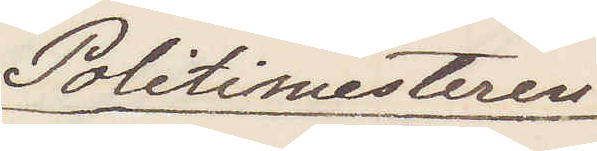Politimesteren
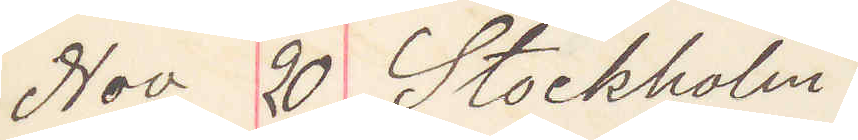Nov 20. Stockholm
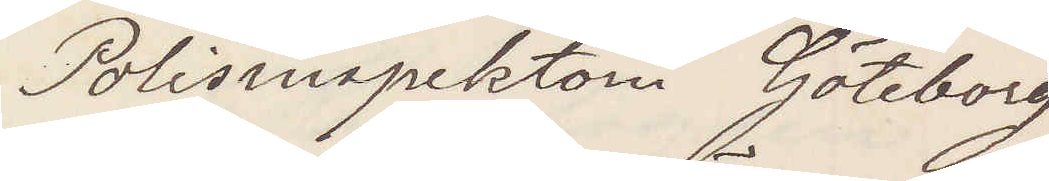Polisinspektorn Göteborg
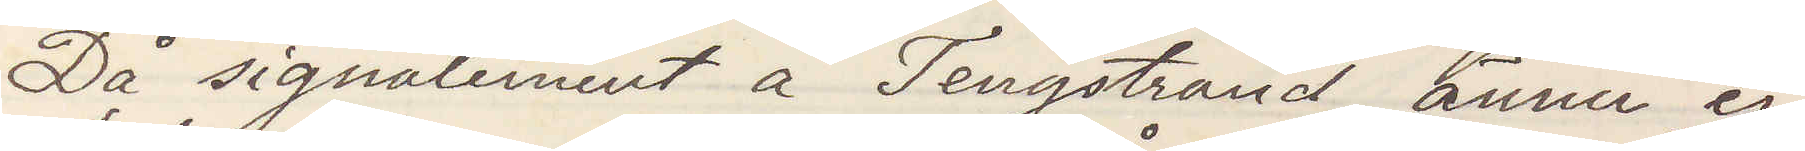Då signalement å Tengstrand ännu ej
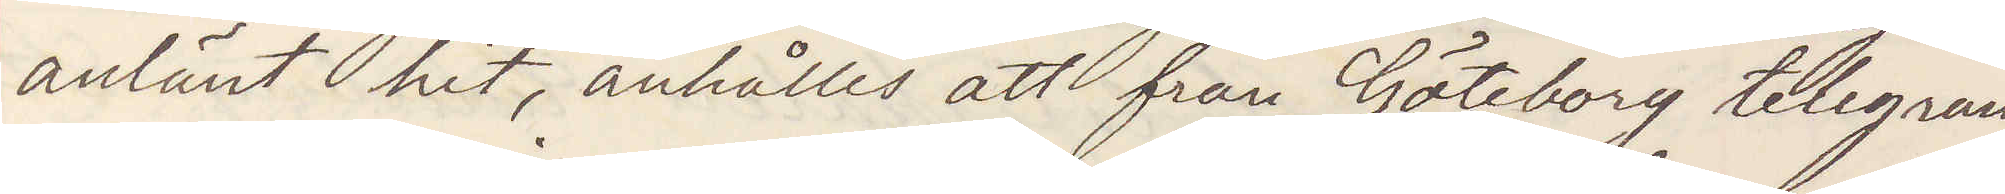anlänt hit, anhålles att från Göteborg telegram
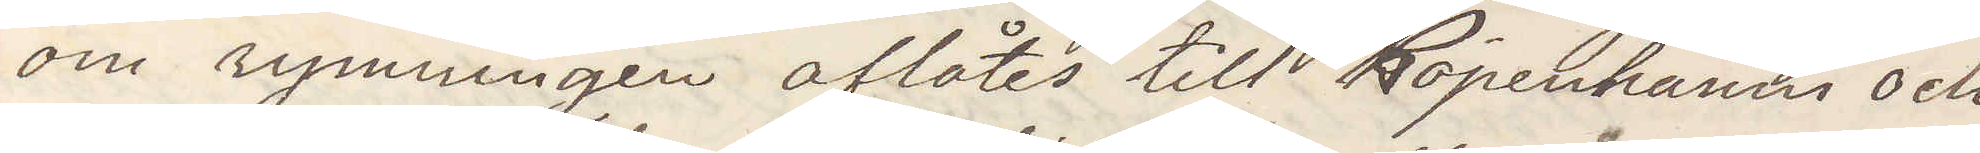om rymningen aflåtes till Köpenhamns och
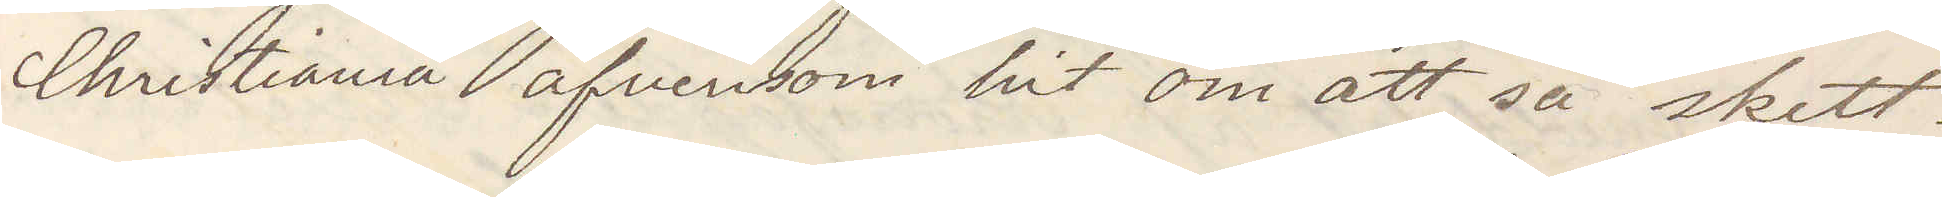Christiania äfvensom att så skett.
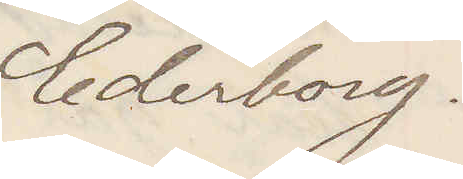Cederborg.
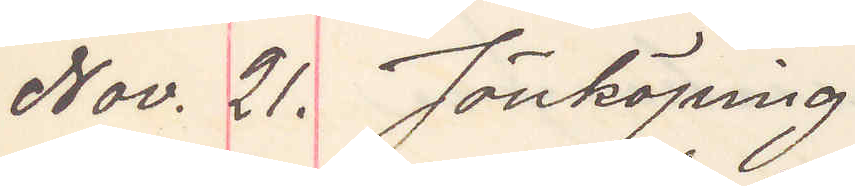Nov. 21. Jönköping
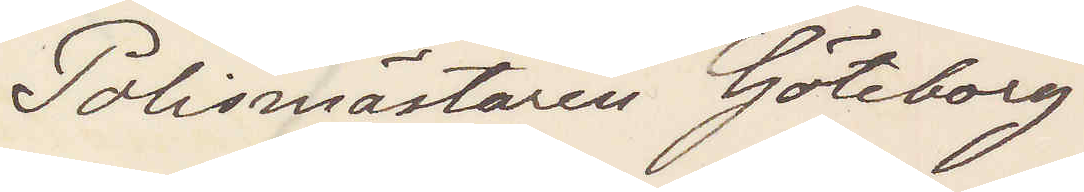Polismästaren Göteborg
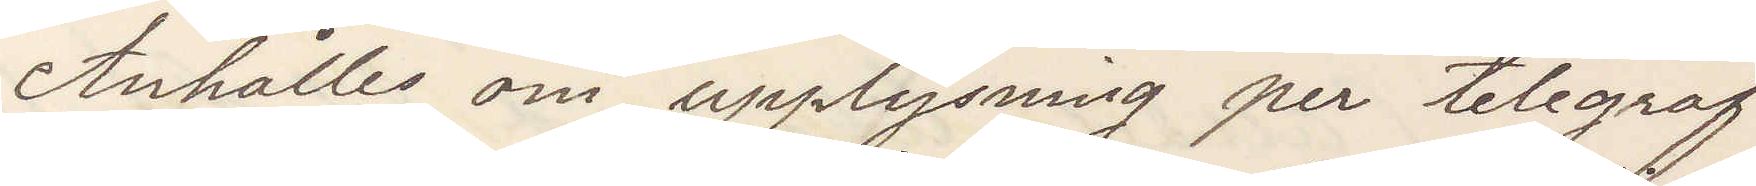Anhåller om upplysning per telegraf
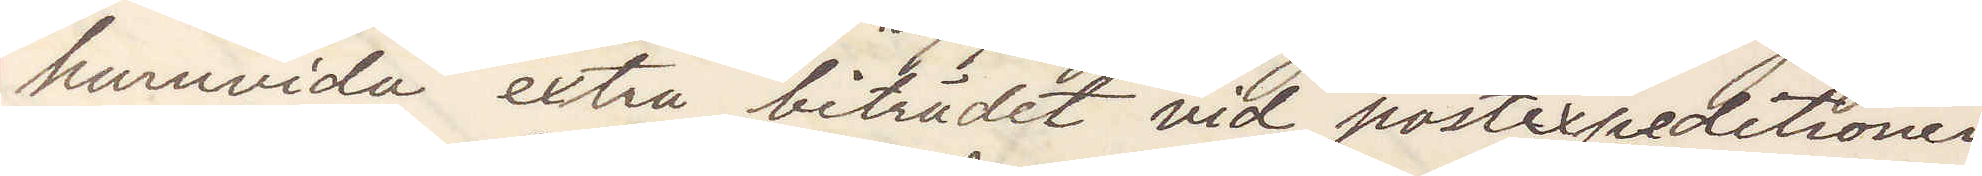huruvida extra biträdet vid postexpeditionen
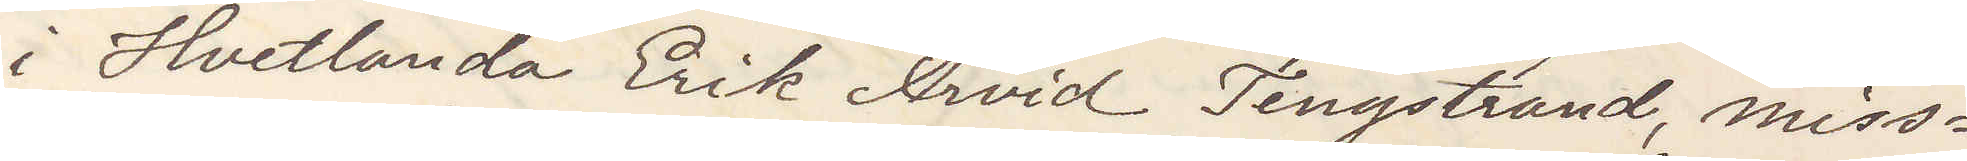i Hvetlanda Erik Arvid Tengstrand, miss¬
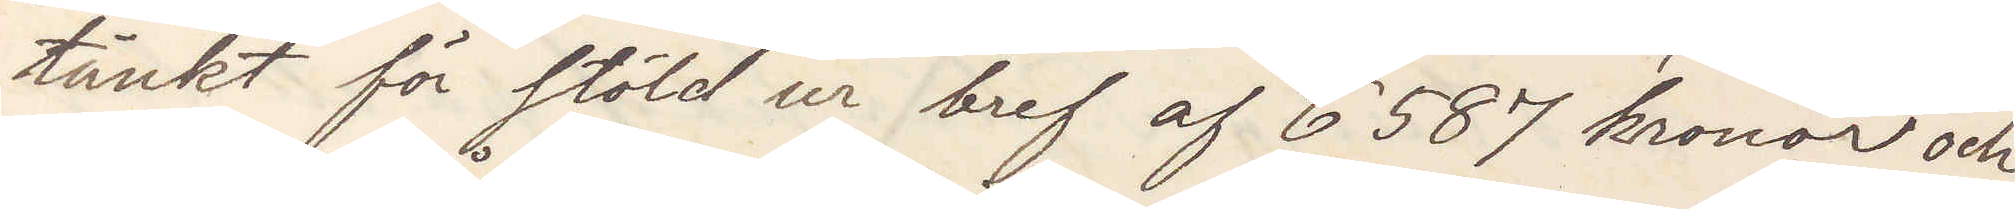tänkt för stöld ur bref af 6587 kronor och
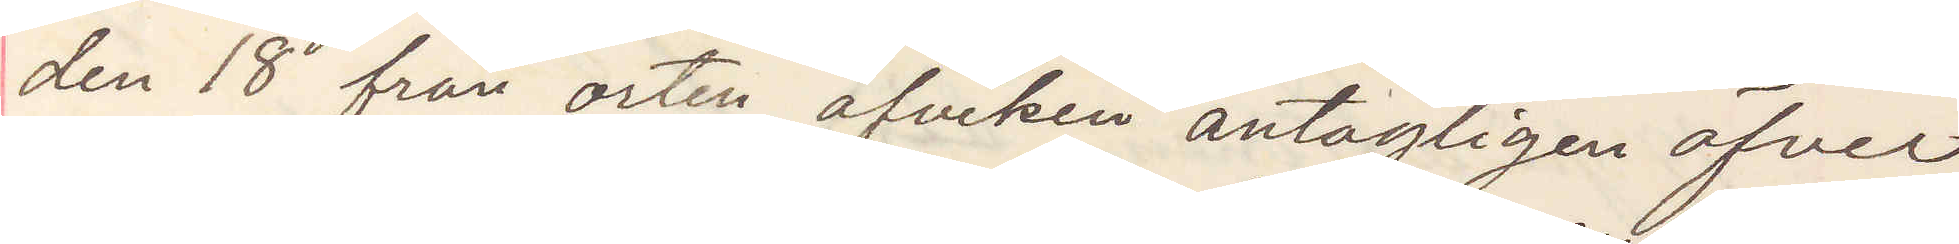den 18 från orten afviken antagligen öfver
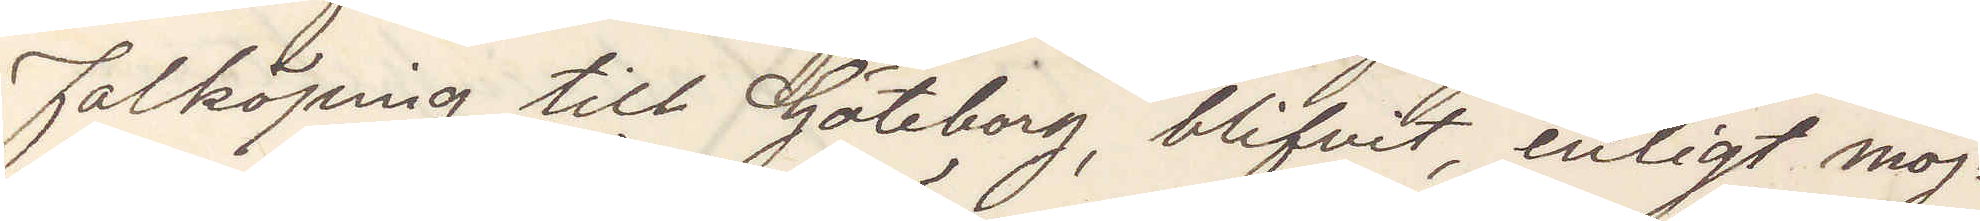Falköping till Göteborg, blifvit, enligt möj¬
